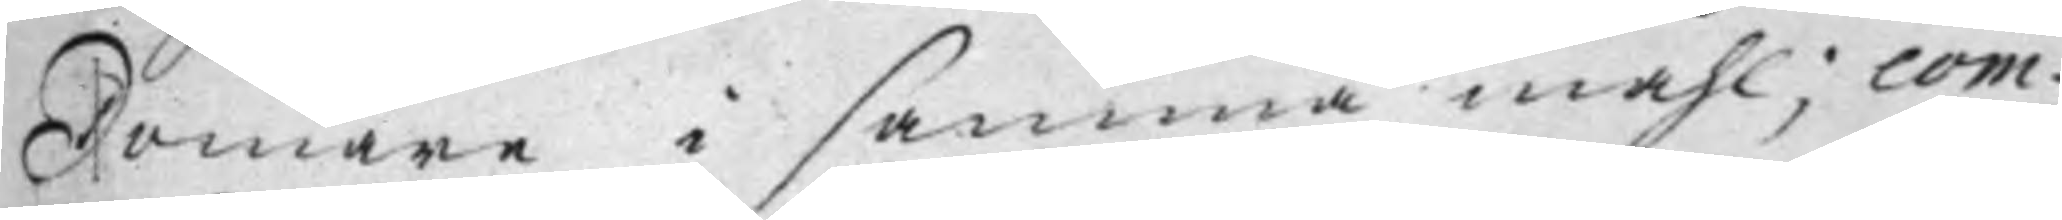Domare i samma måhl; com¬
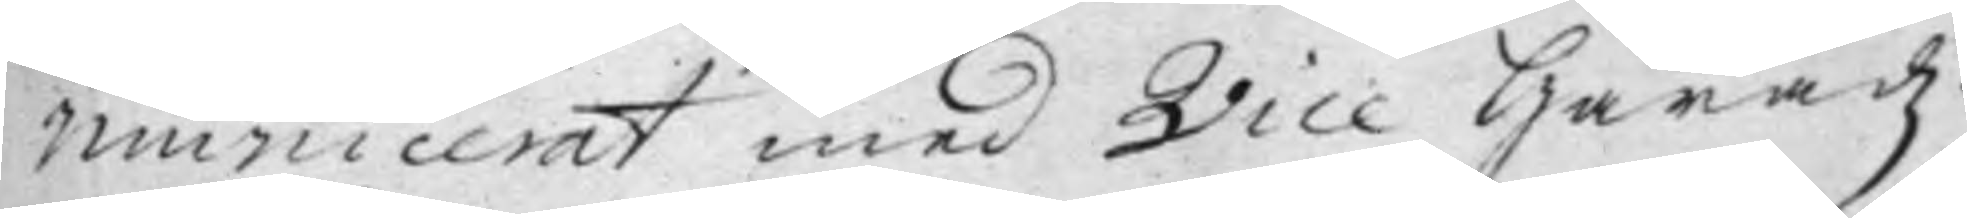municerat med Vice Häradz¬
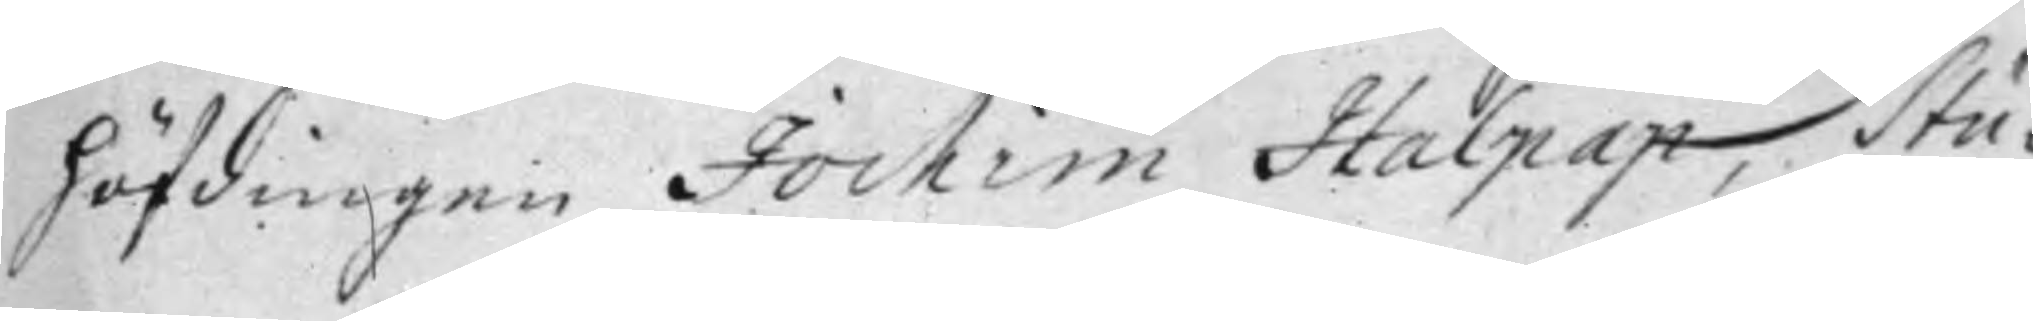höfdingen Jochim Halpap, Stu¬
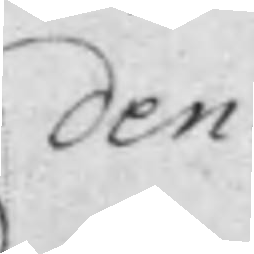den¬
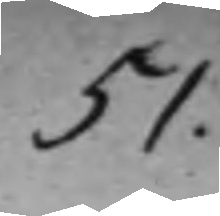51.
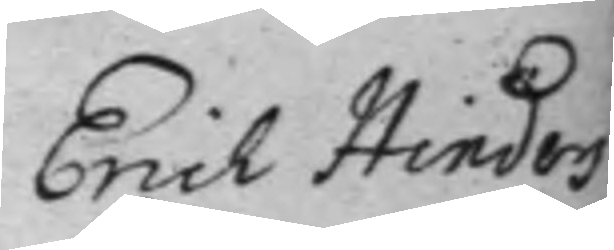Erich Hinders¬
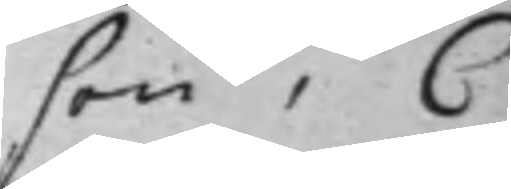son, C
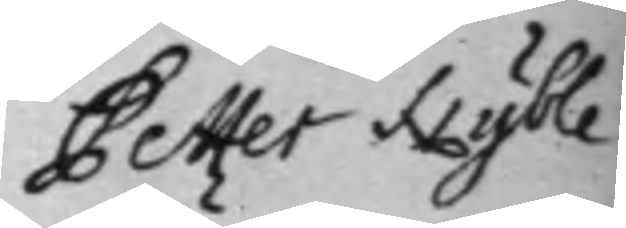Petter Nyble¬
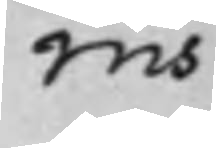rus.
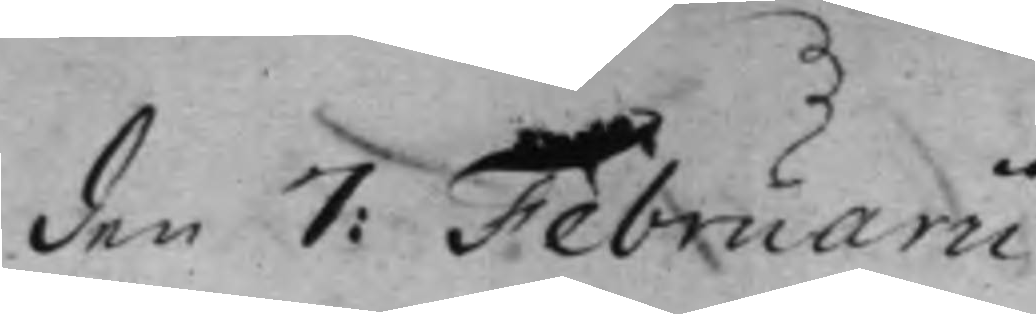den 7: Februarii.
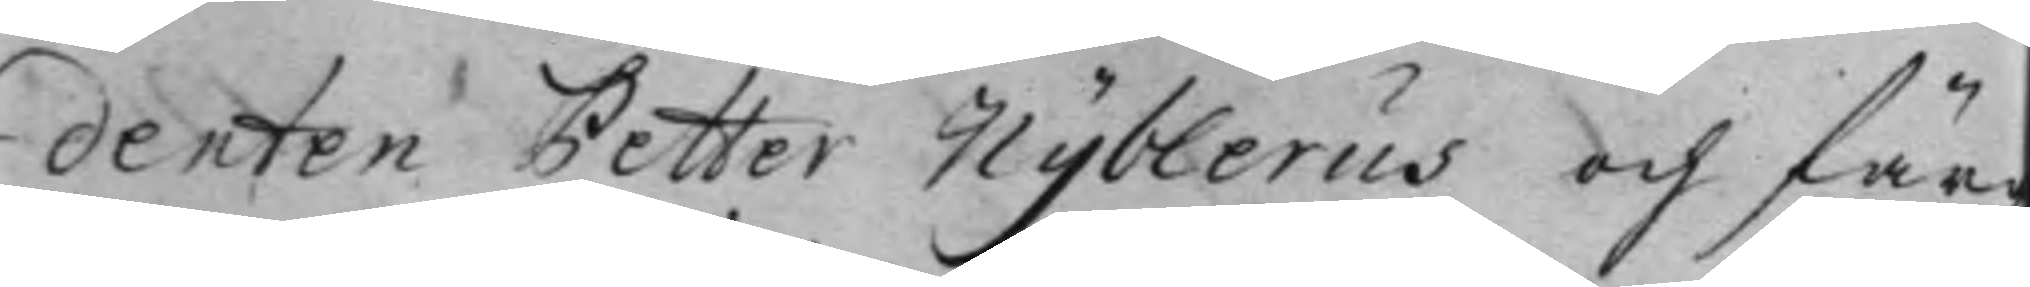denten Petter Nyblerus och färg¬
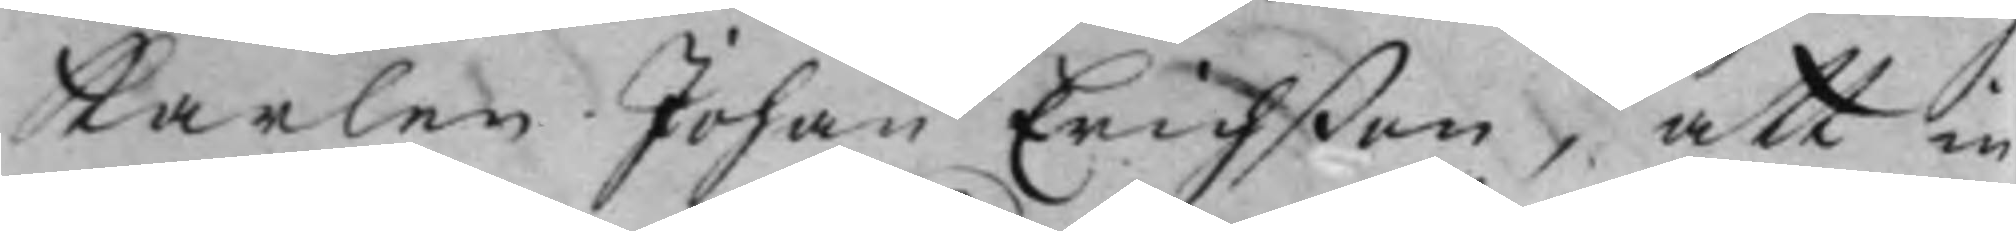karlen Johan Erichßon, att in¬
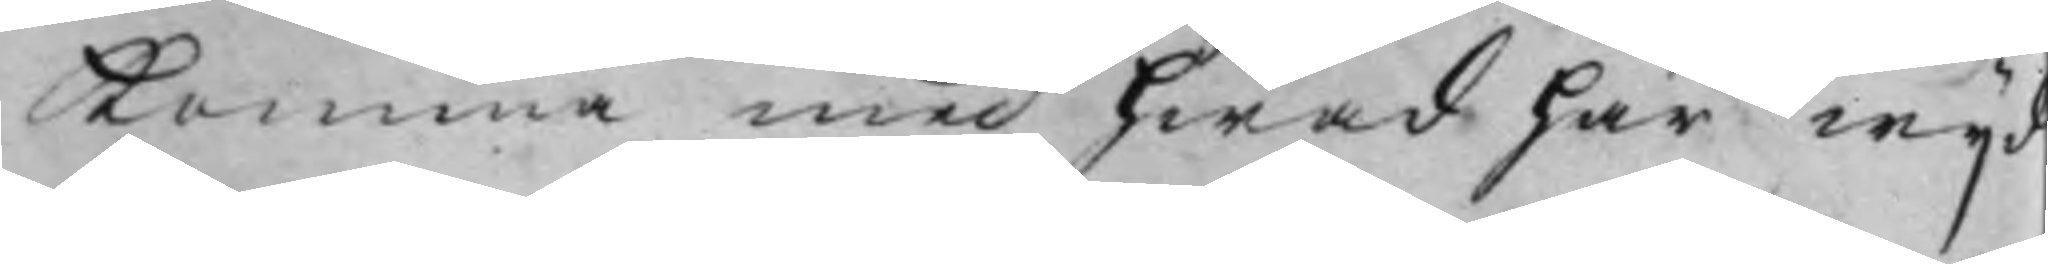komma med hwad här wijd
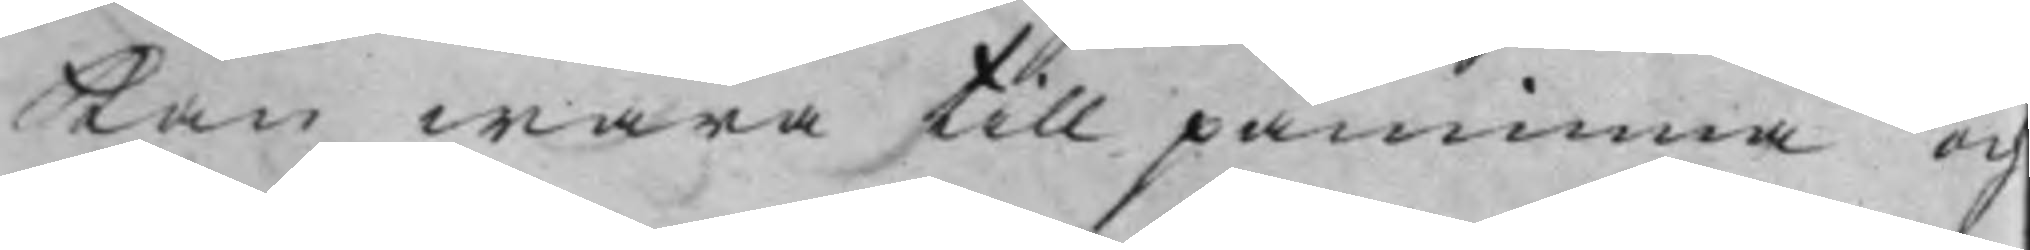kan wara till påminna och
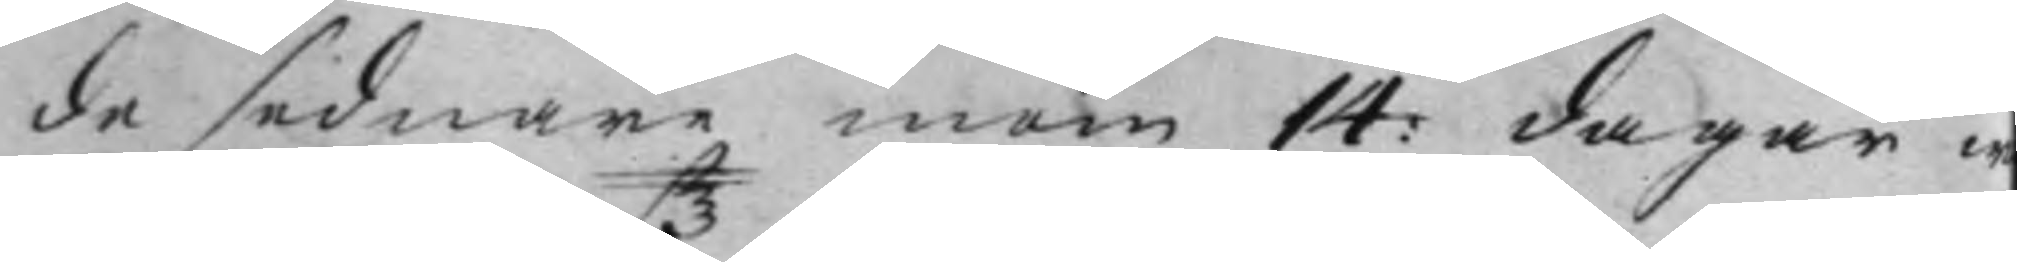de sednare inom 14: dagar w
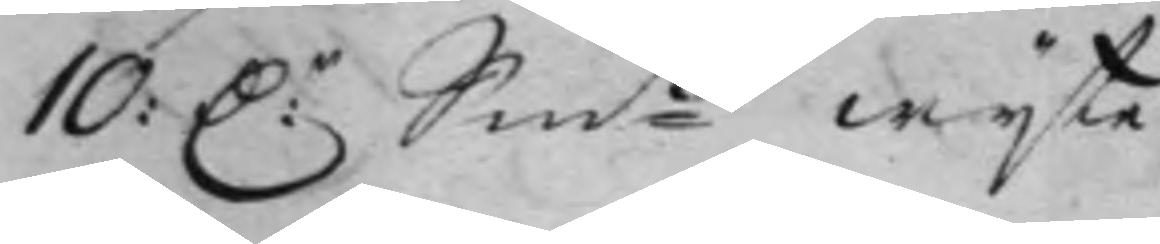10: D:r Sm:tz wijte.
